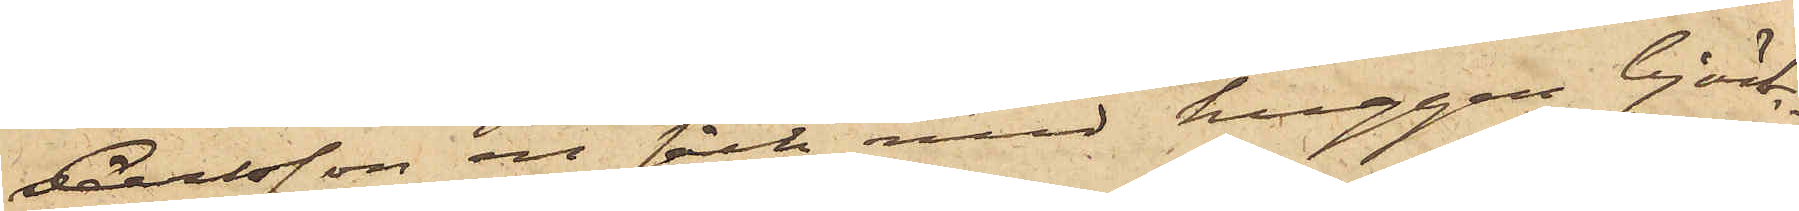Carlsson en säck med huggen björk¬
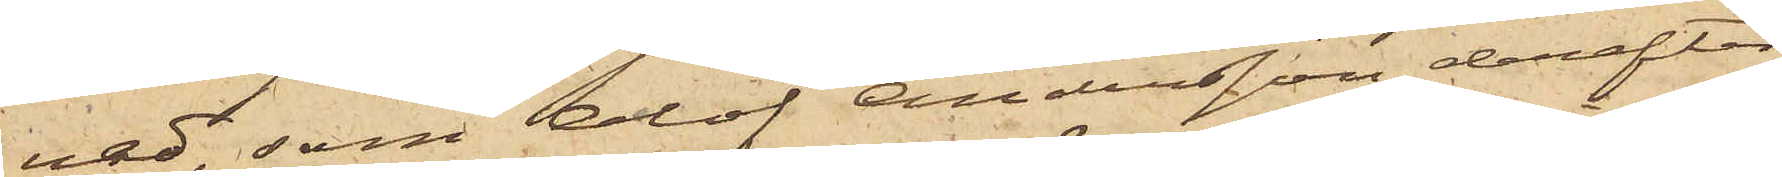ved, som Olof Andersson derefter
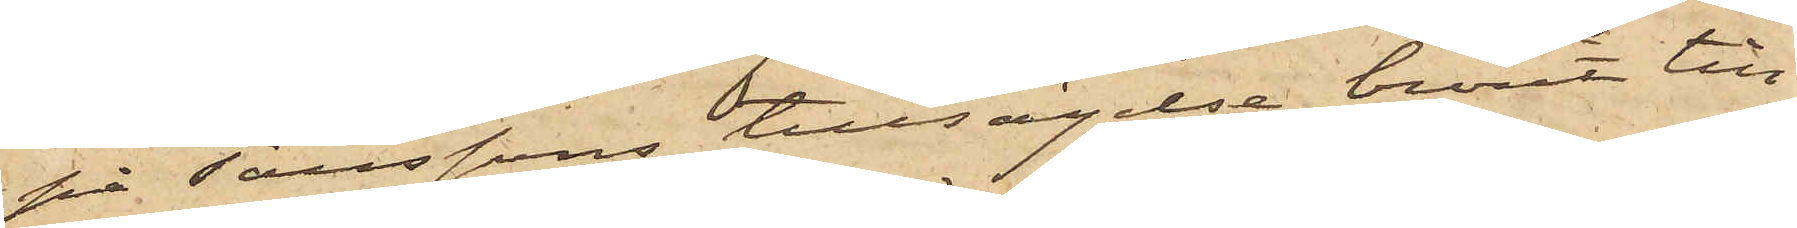på Taussons tillsägelse burit till
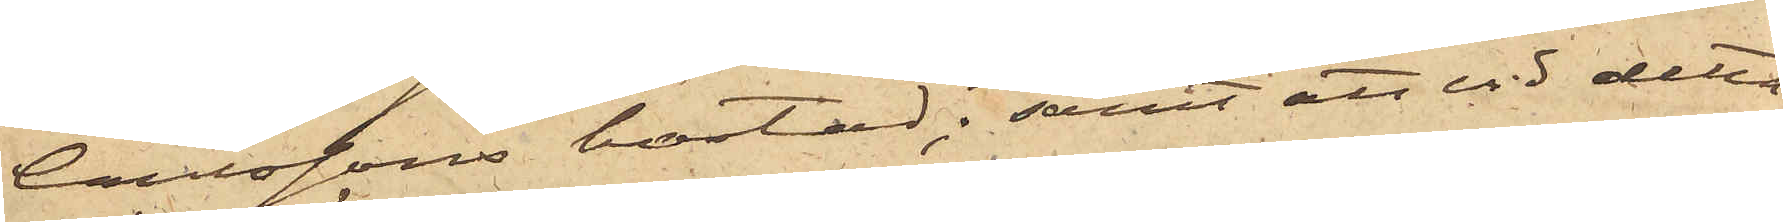Carlssons bostad; samt att vid detta
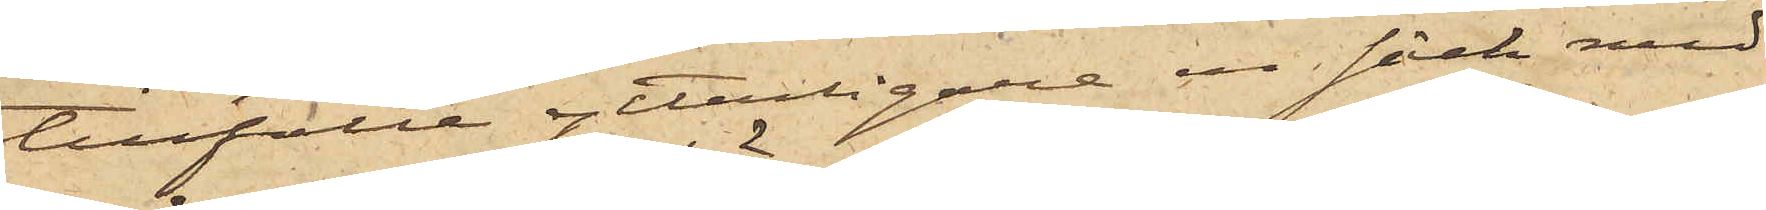tillfälle ytterligare en säck med
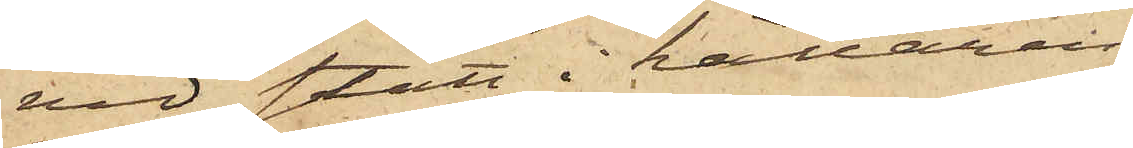ved stått i källaren.
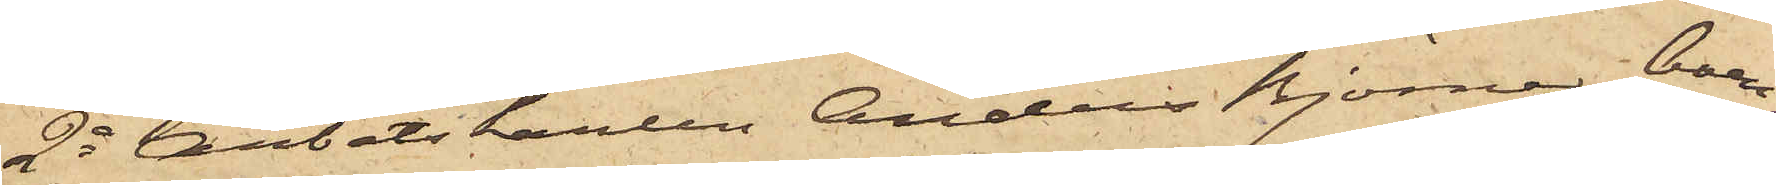2o Arbetskarlen Anders Björner, boen¬
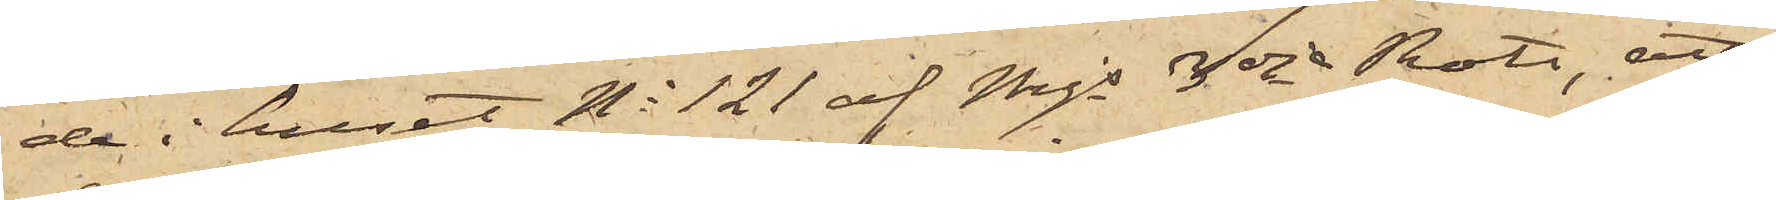de i huset No 121 af Mjs 3dje Rote, att
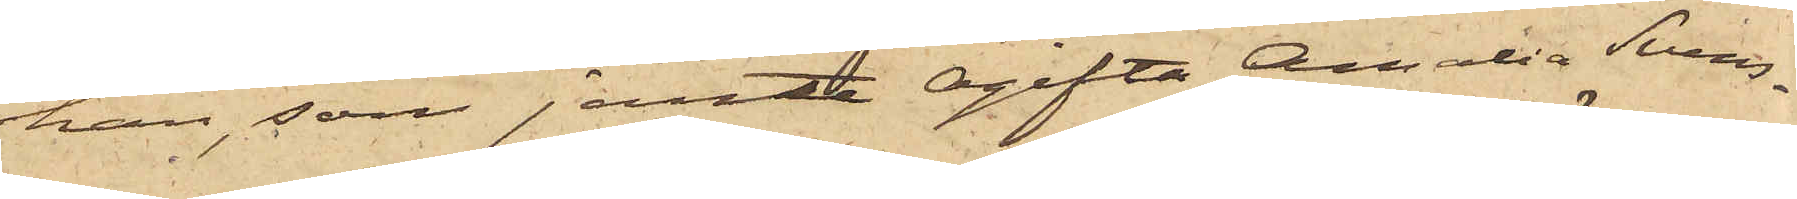han, som jemte ogifta Amalia Svens¬
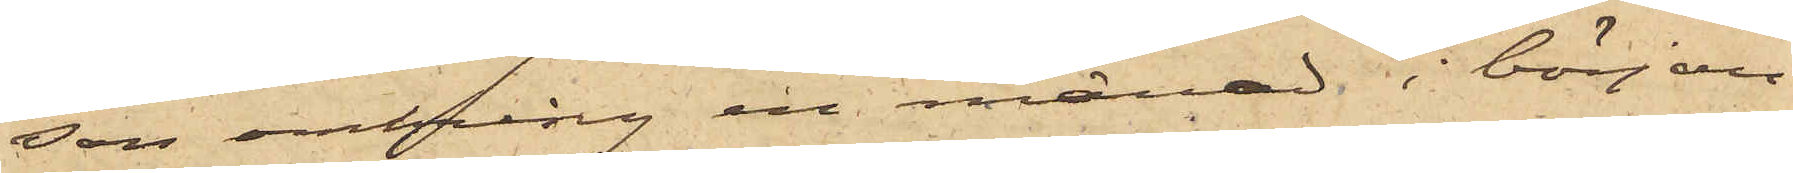son omkring en månad i början
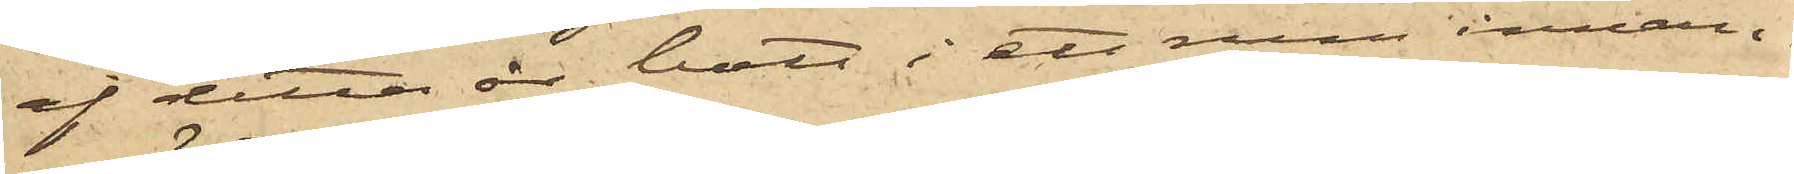af detta år bott i ett rum innan¬
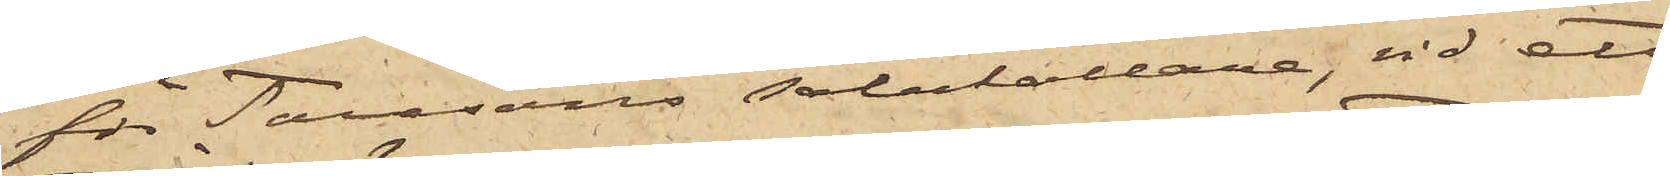för Taussons salukällare, vid ett
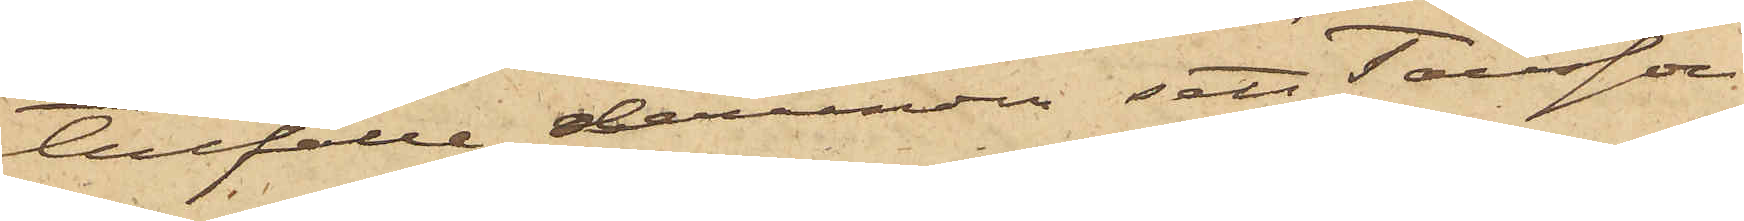tillfälle derunder sett Tausson
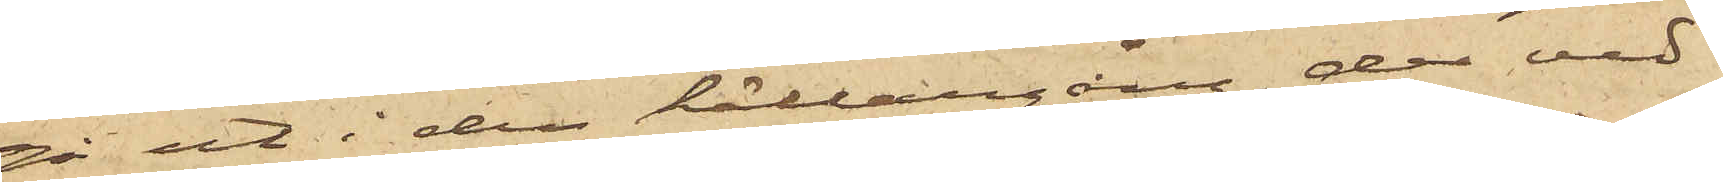gå ut i den källargång, der ved¬
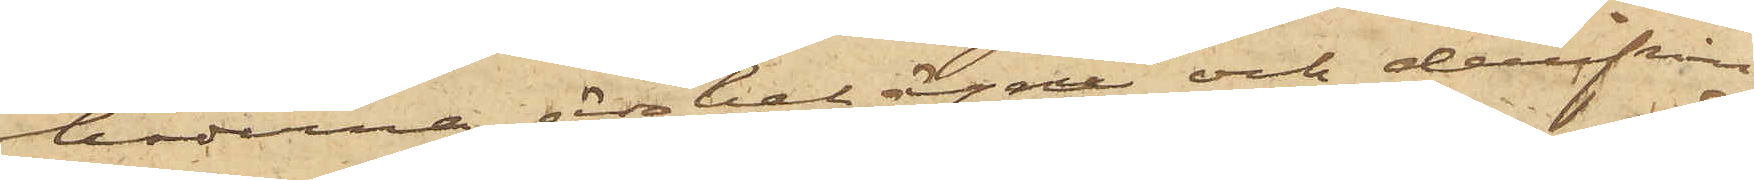travarne äro belägne och derifrån
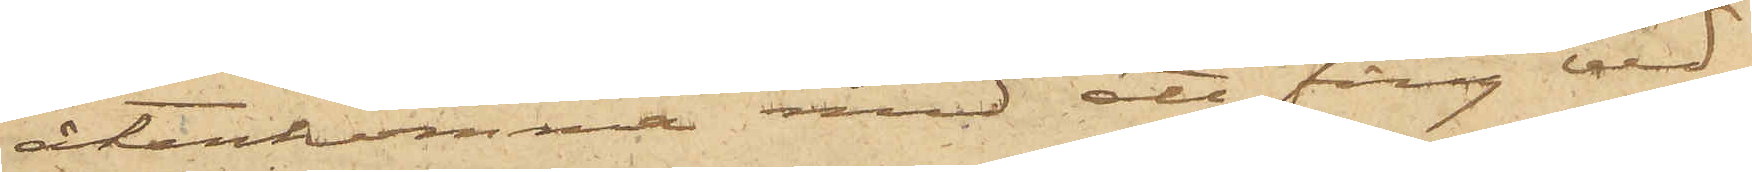återkomma med ett fång ved
